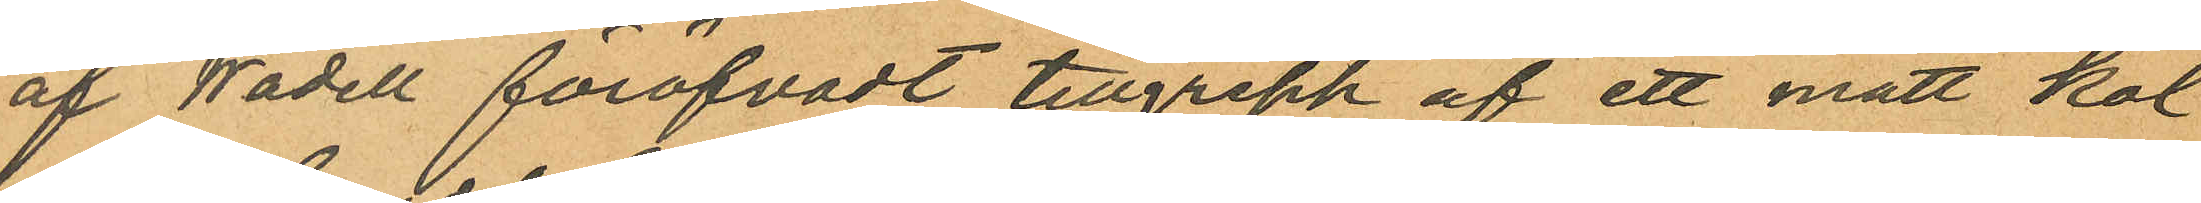af Wadell föröfvadt tillgrepp af ett mått kol
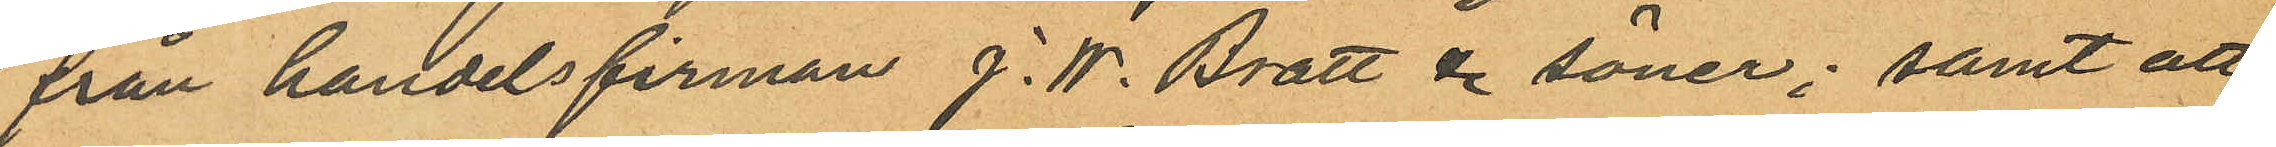från handelsfirman J. W. Bratt & söner; samt att
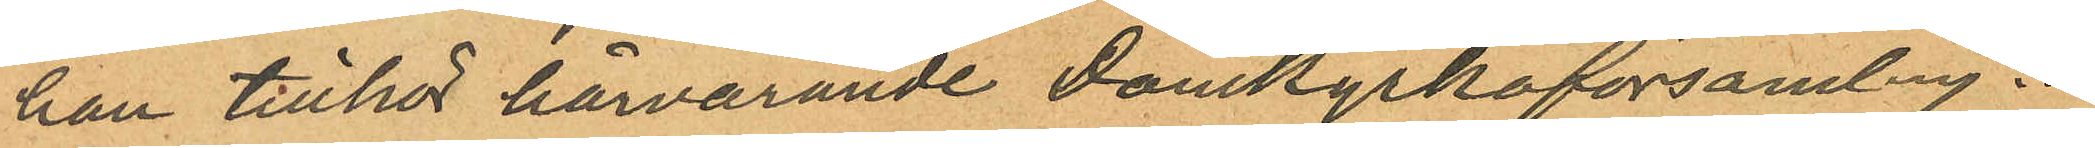han tillhör härvarande Domkyrkoförsamling.
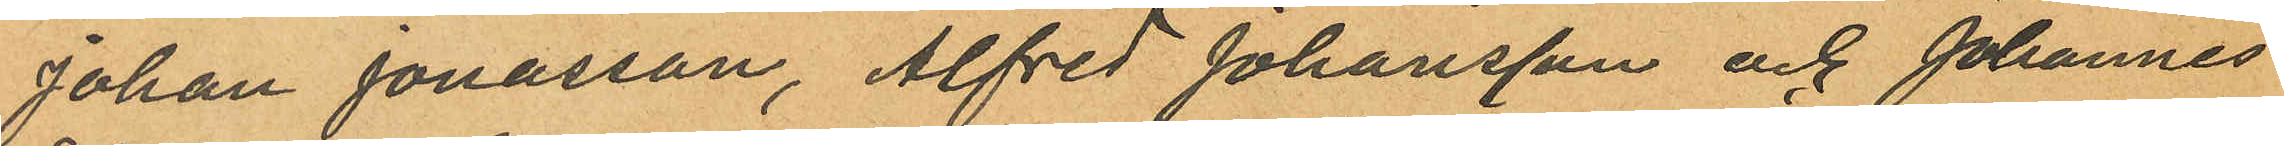Johan Jonasson, Alfred Johansson och Johannes
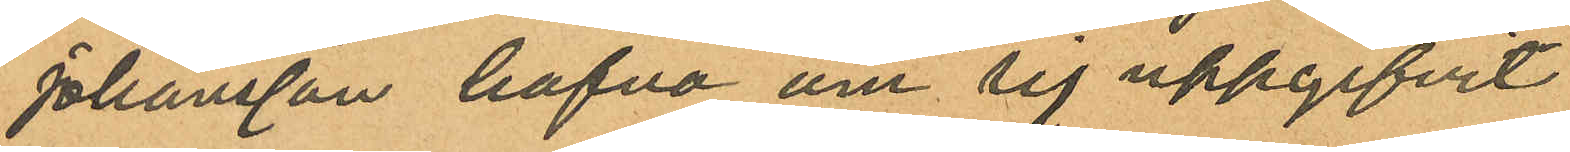Johansson hafva om sig uppgifvit
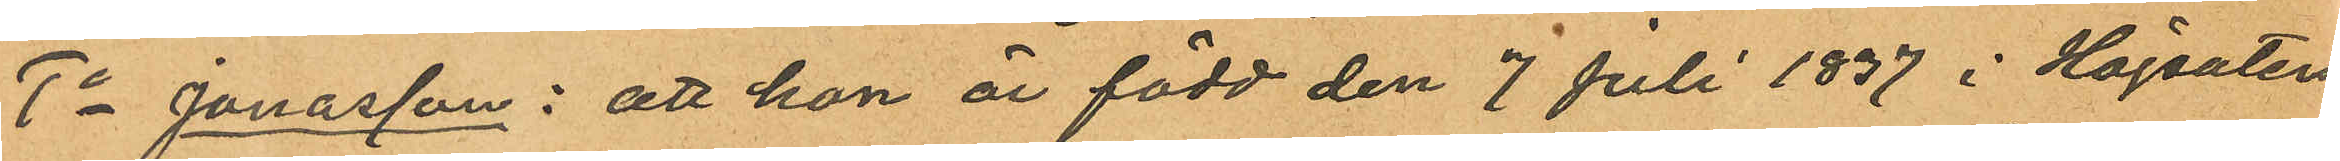1o Jonasson: att han är född den 7 Juli 1837 i Högsaters
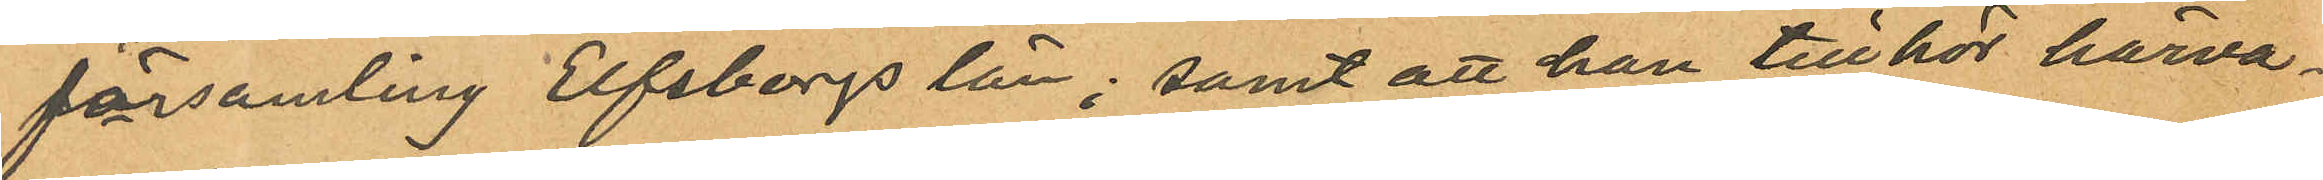församling Elfsborgs län; samt att han tillhör härva¬
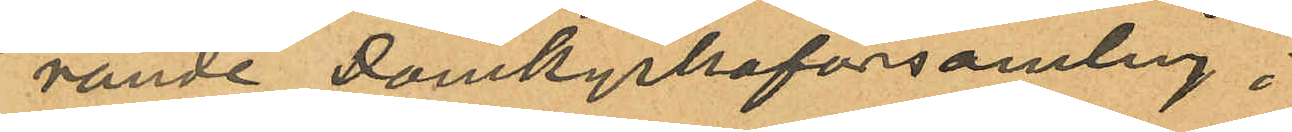rande Domkyrkoförsamlng ;
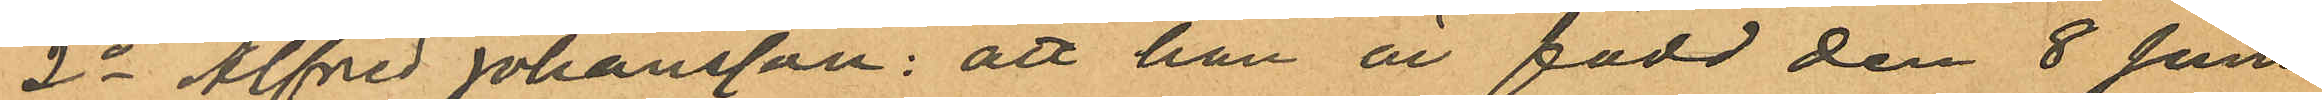2o Alfred Johansson: att han är född den 8 Juni
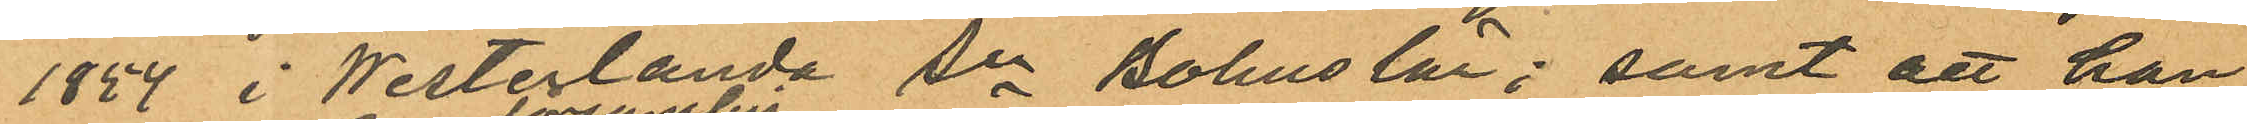1854 i Westerlanda Sn Bohuslän; samt att han
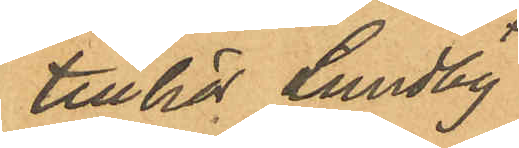tillhör Lundby
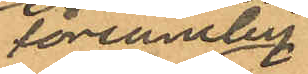församling
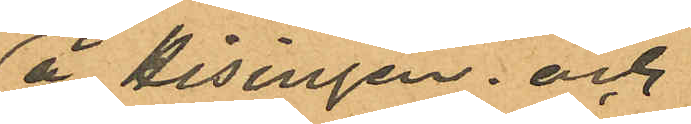å Hisingen; och
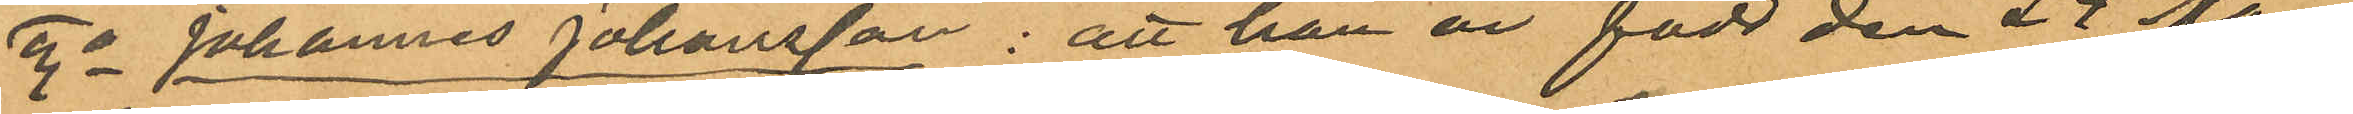3o Johannes Johansson: att han är född den 24 Mars
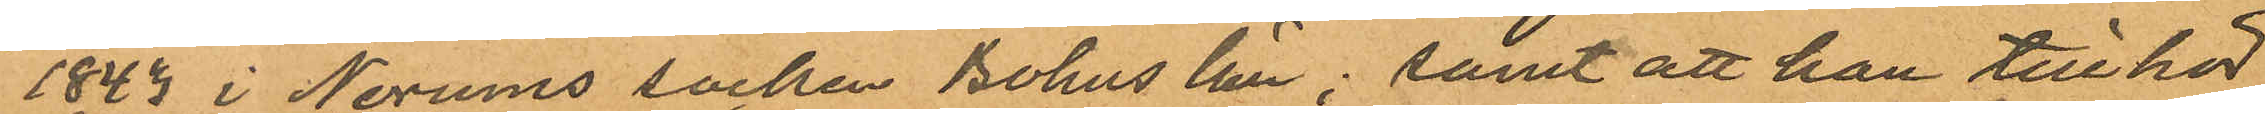1843 i Norums socken Bohus län; samt att han tillhör
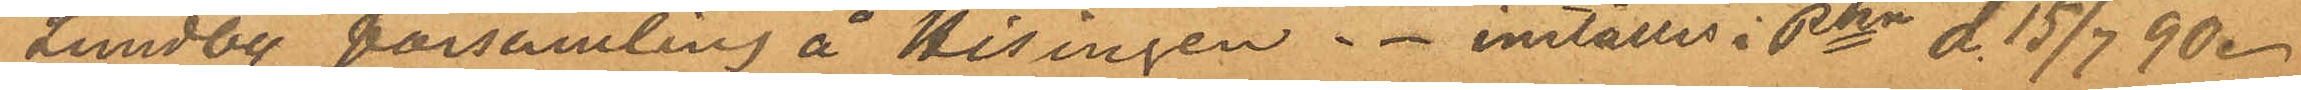Lundby församling å Hisingen. inställes i Pkn d. 15 /7 90.
